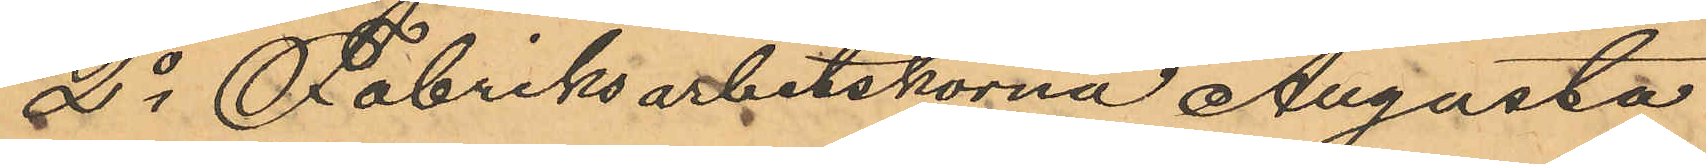2o Fabriksarbetskorna Augusta
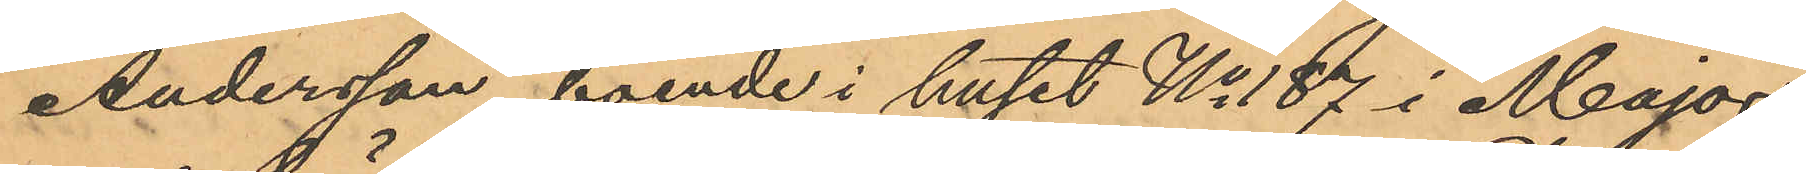Andersson, boende i huset No 187 i Major¬
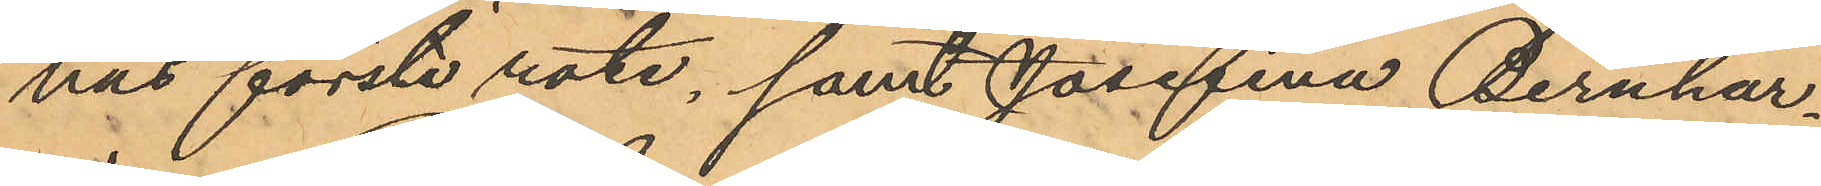nas första rote, samt Josefina Bernhar¬
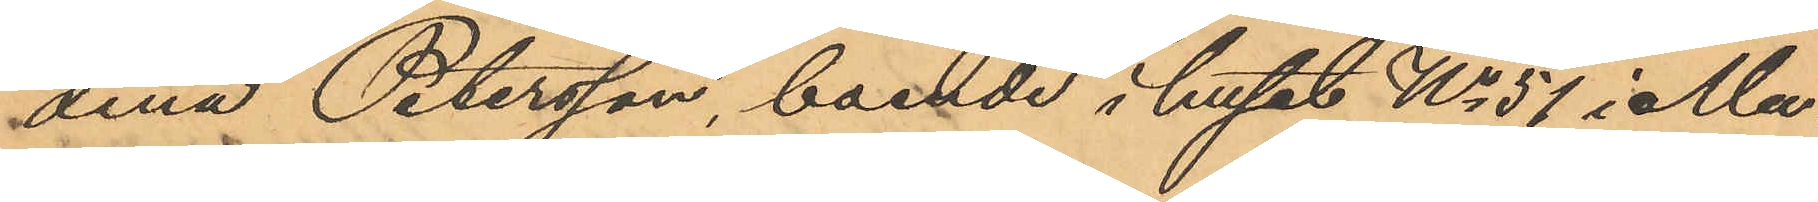dina Petersson, boende i huset No 57 i Ma¬
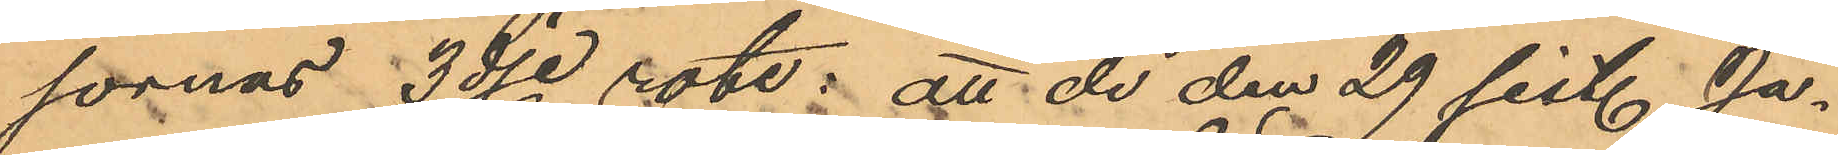sornas 3dje rote; att de den 29 sist. Ja¬
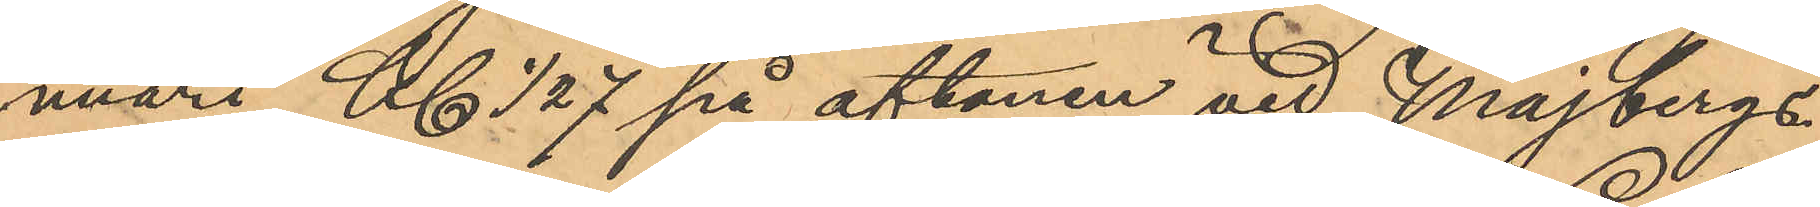nuari Kl 1/2 7 på aftonen vid Majbergs¬
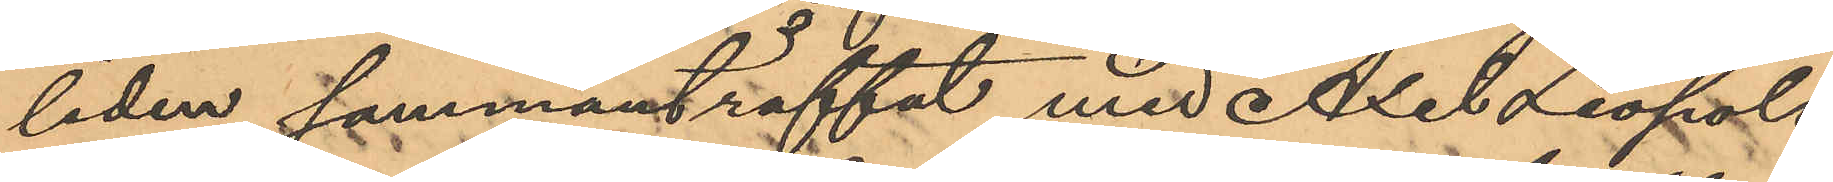liden sammanträffat med Axel Leopold
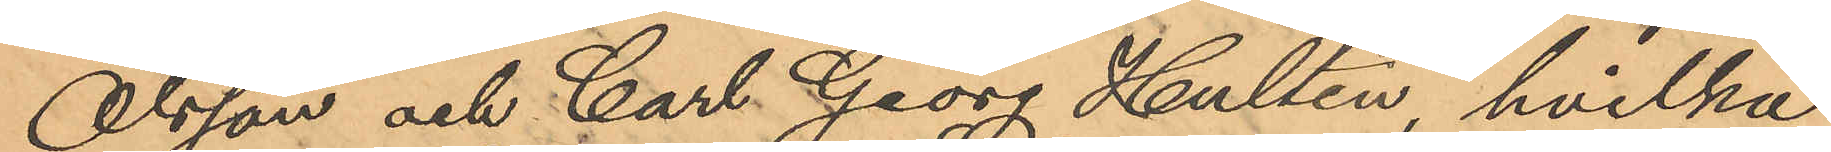Olsson och Carl Georg Hultén, hvilka
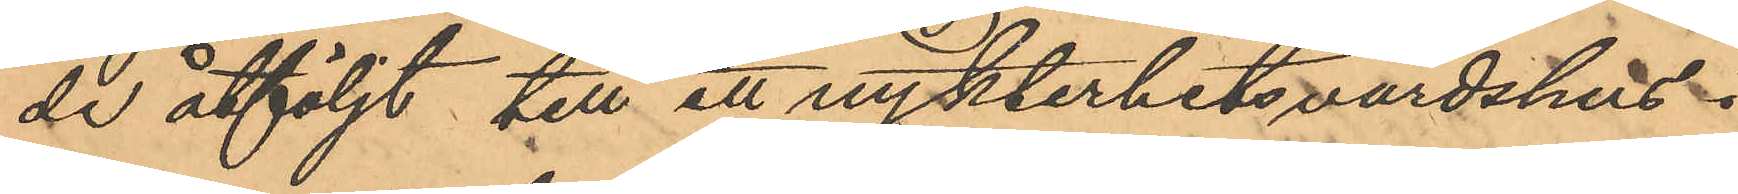de åtföljt till ett nykterhetsvärdshus i 
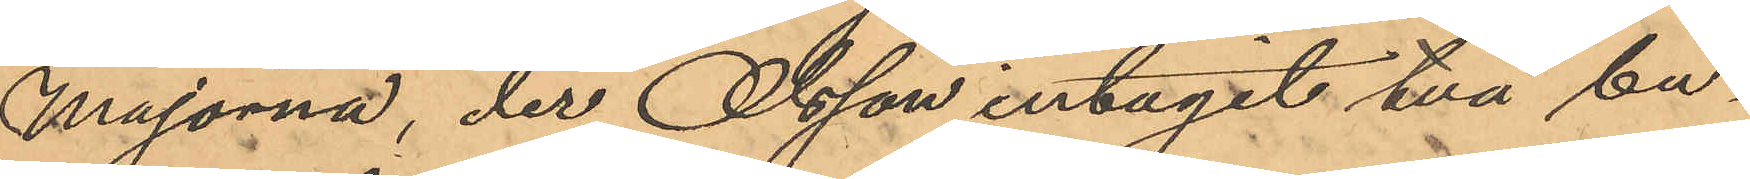Majorna, der Olsson intagit två bu¬
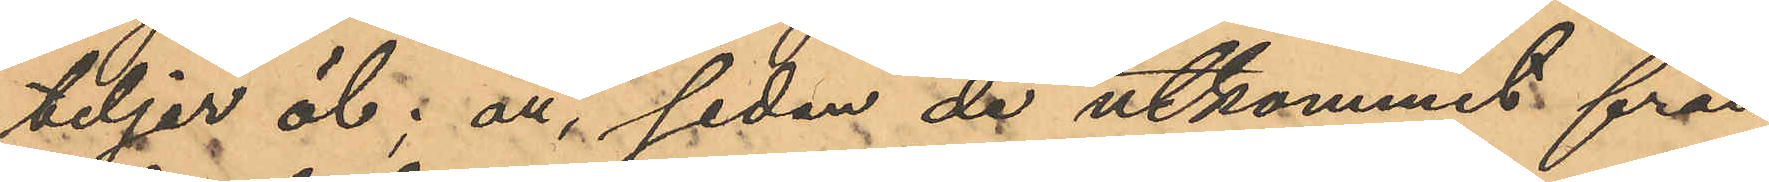teljer öl; att sedan de utkommit från
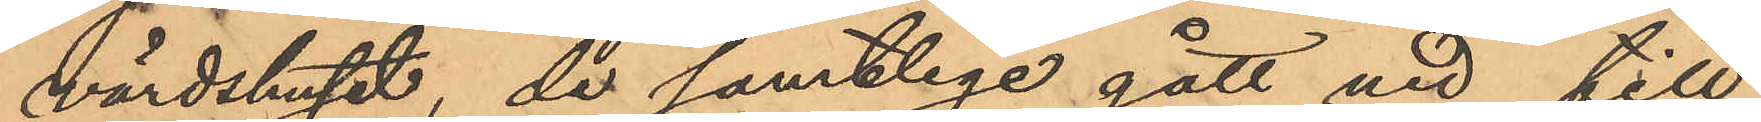värdshuset, då samtlige gått ut  till
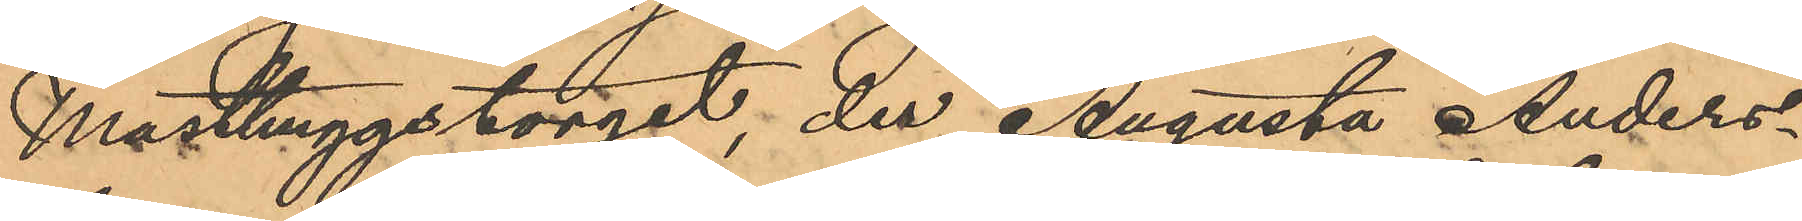Masthuggstorget, der Augusta Anders¬
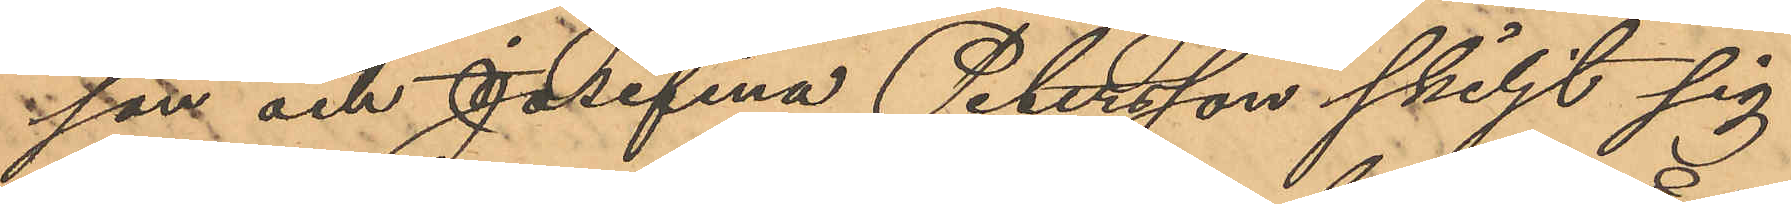son och Josefina Petersson skiljt sig
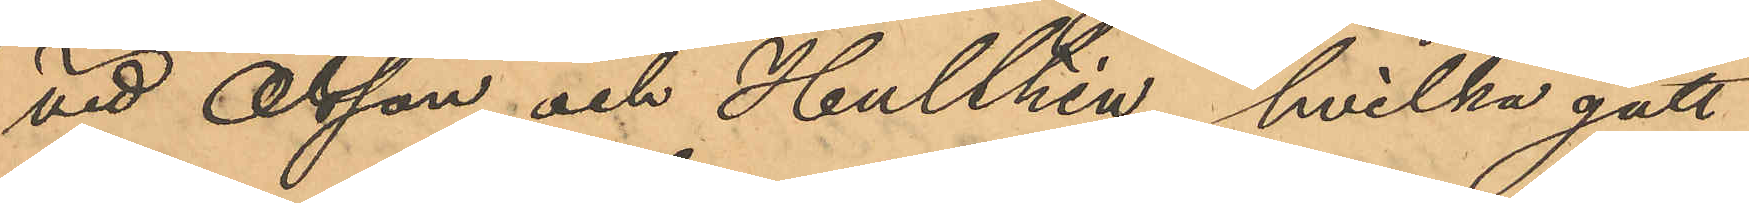vid Olsson och Hulthén, hvilka gått
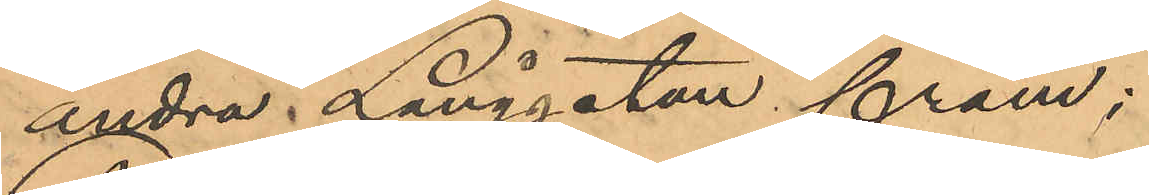andra Långgatan fram;
